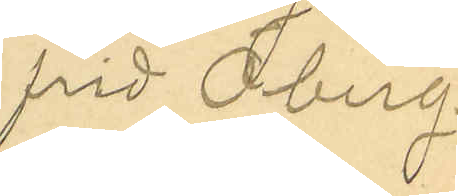frid Öberg.
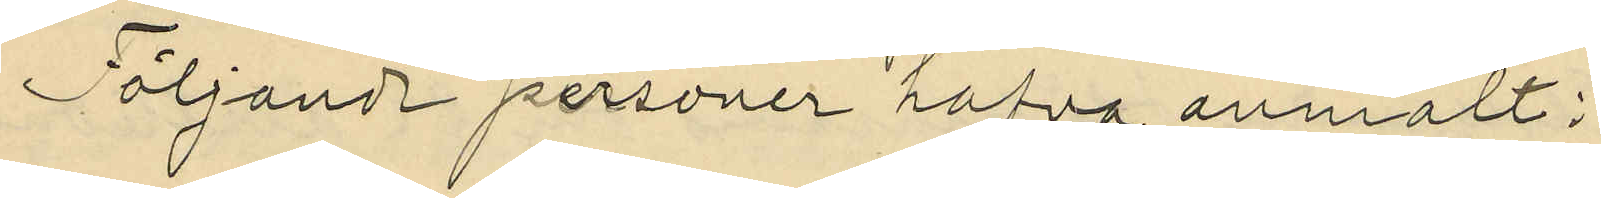Följande personer hafva anmält:
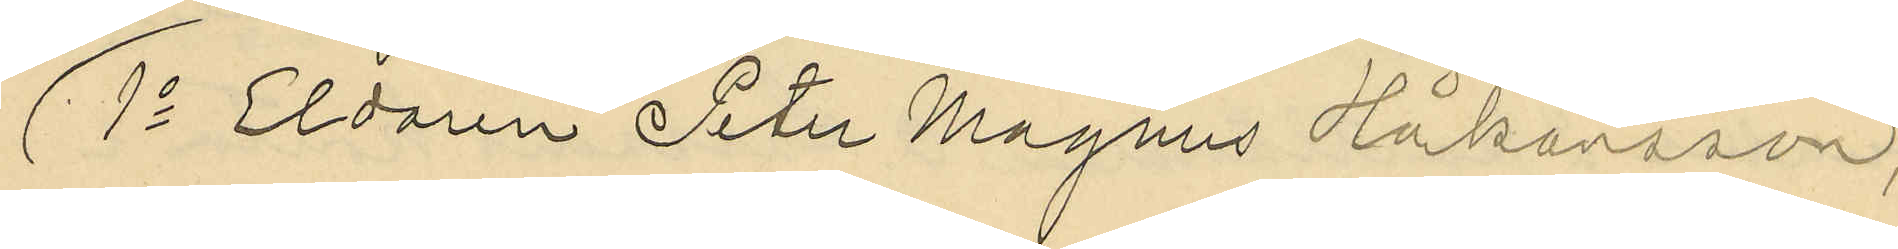1o Eldaren Peter Magnus Håkansson,
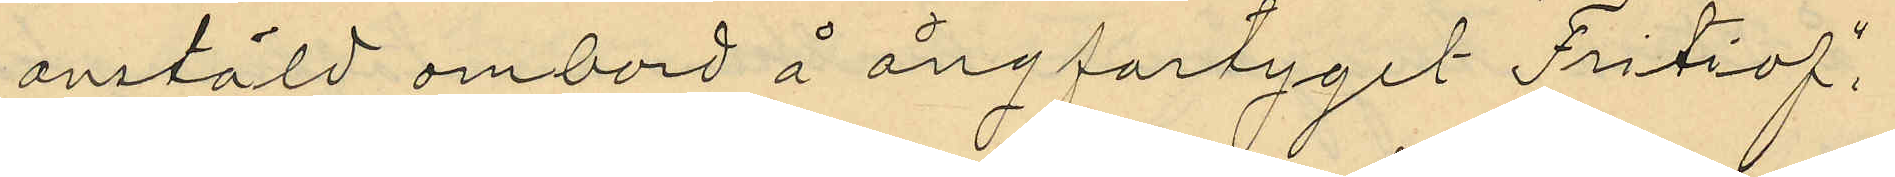anstäld ombord å ångfartyget "Fritiof",
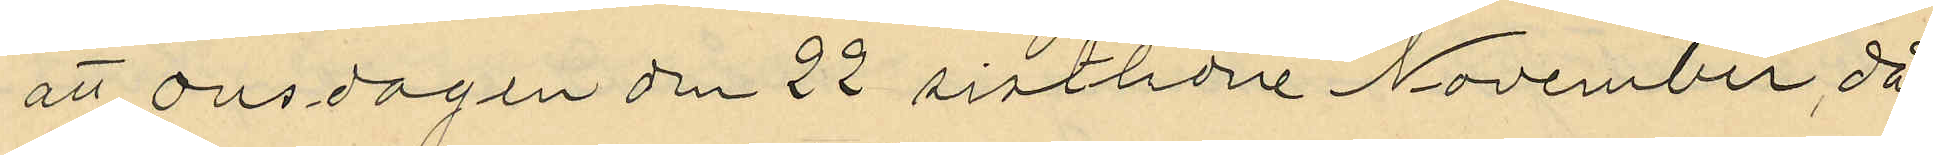att onsdagen den 22 sistlidne November, då
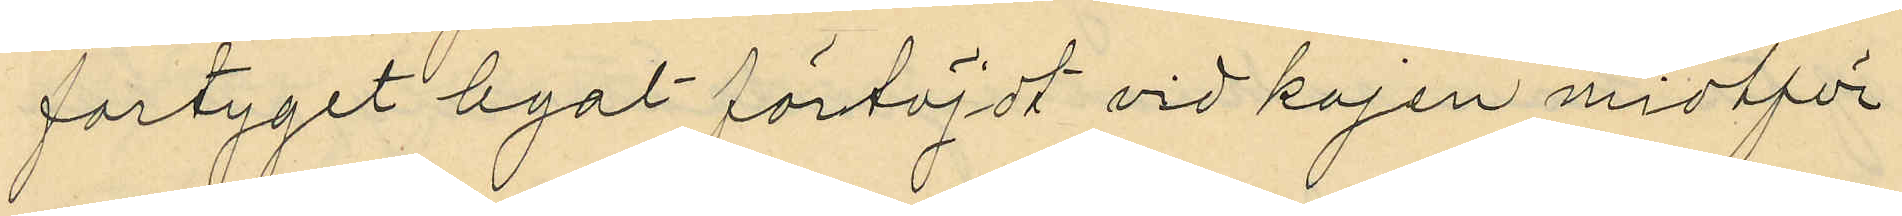fartyget legat förtöjdt vid kajen midtför
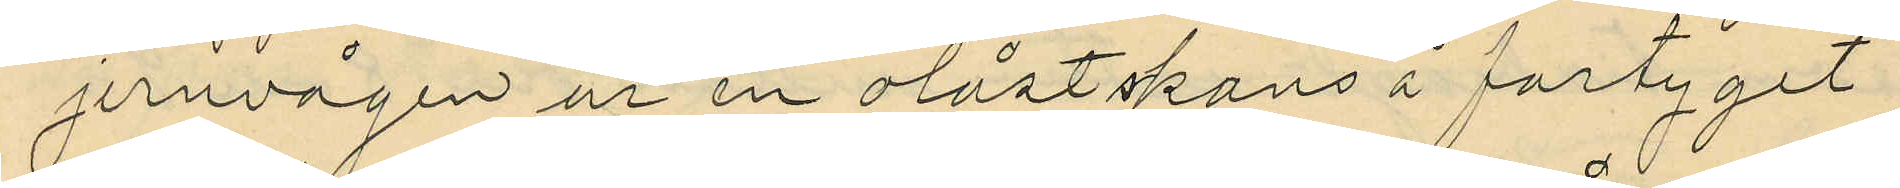jernvägen ur en olåst skans å fartyget
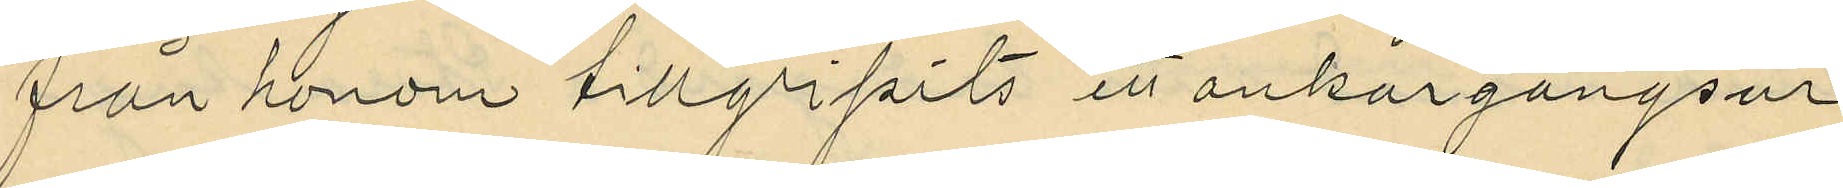från honom tillgripits ett ankargångsur
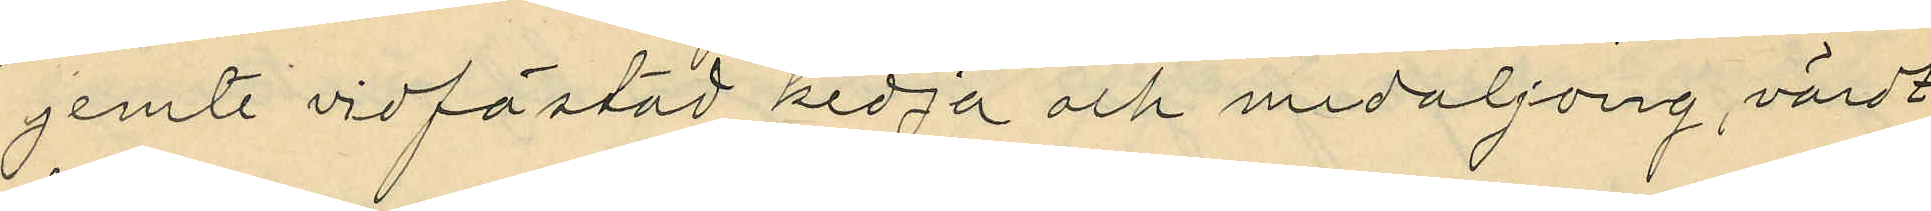jemte vidfästad kedja och medaljong, värdt
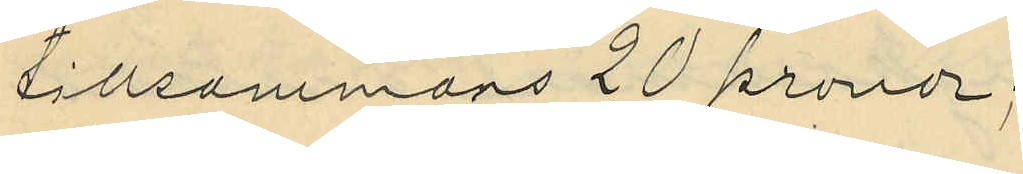tillsammans 20 kronor;
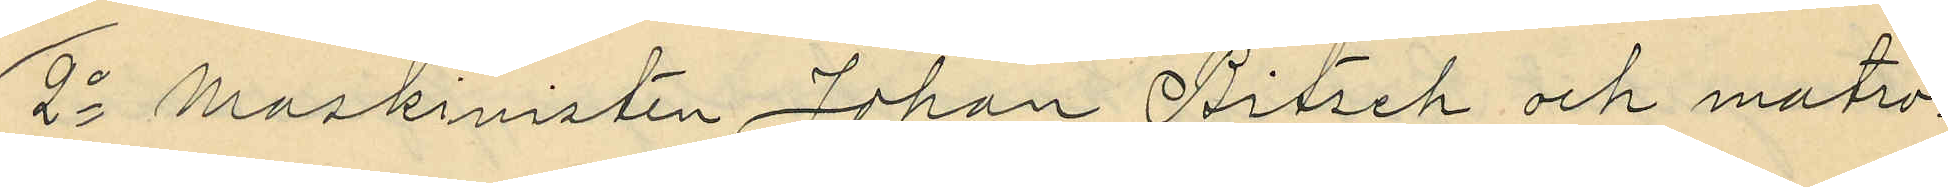2o Maskinisten Johan Bitsch och matro¬
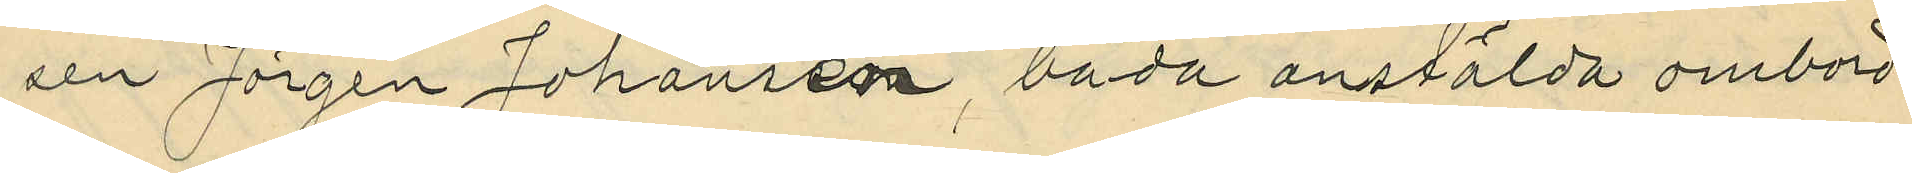sen Jörgen Johansson, båda anstälda ombord
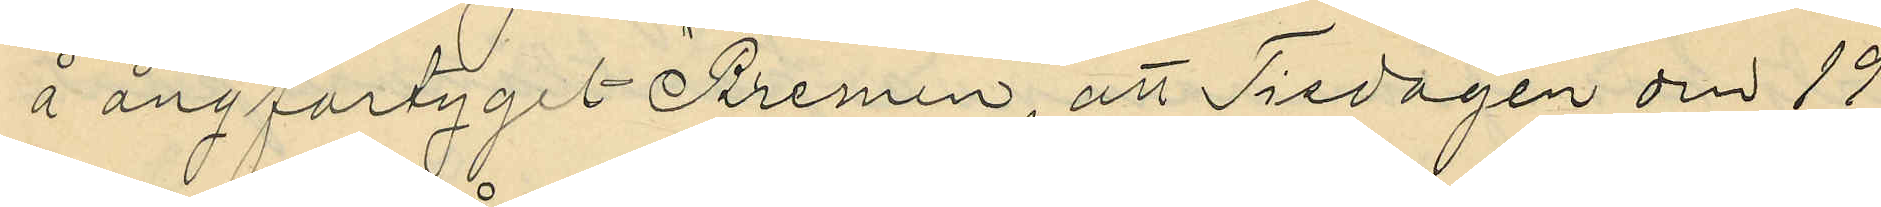å ångfartyget "Bremen", att Fredagen den 19
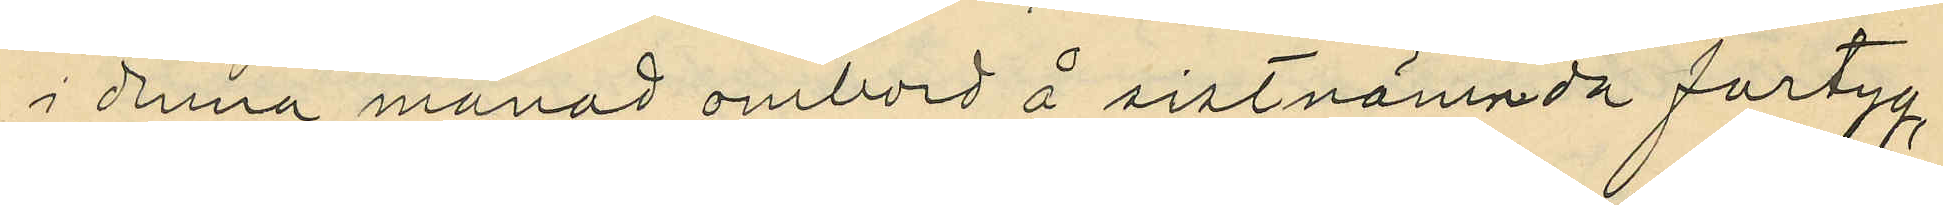i denna månad ombord å sistnämnda fartyg,
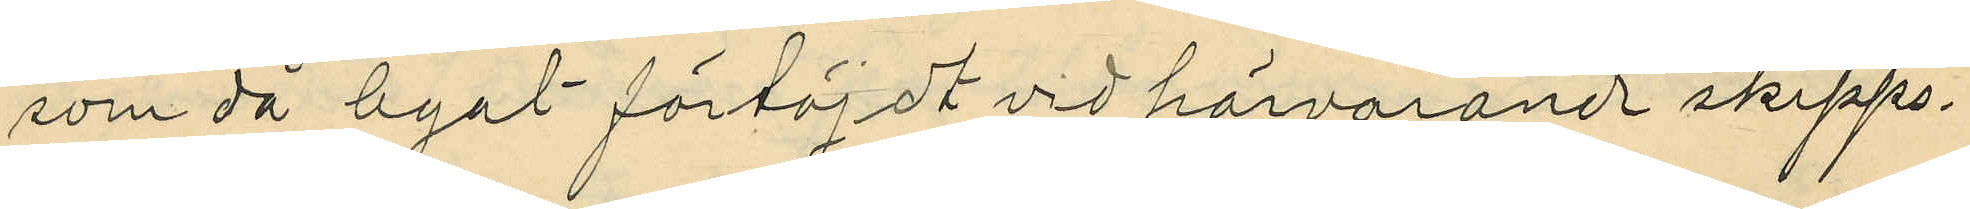som då legat förtöjdt vid härvarande skepps¬
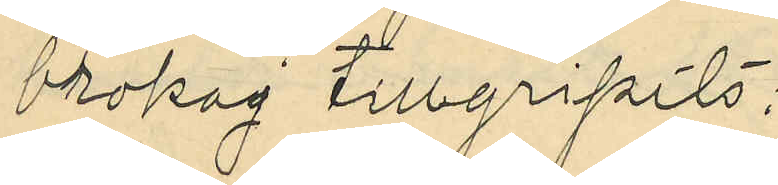brokaj tillgripits:
